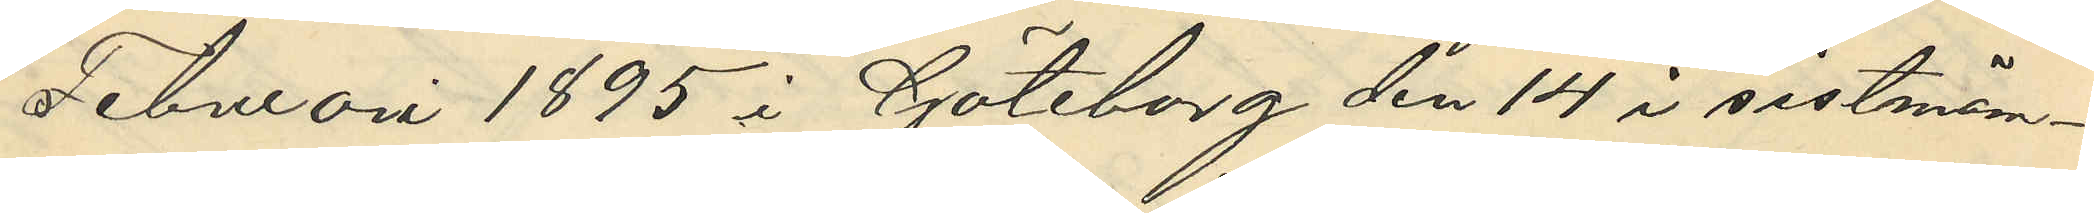Februari 1895 i Göteborg den 14 i sistnäm¬
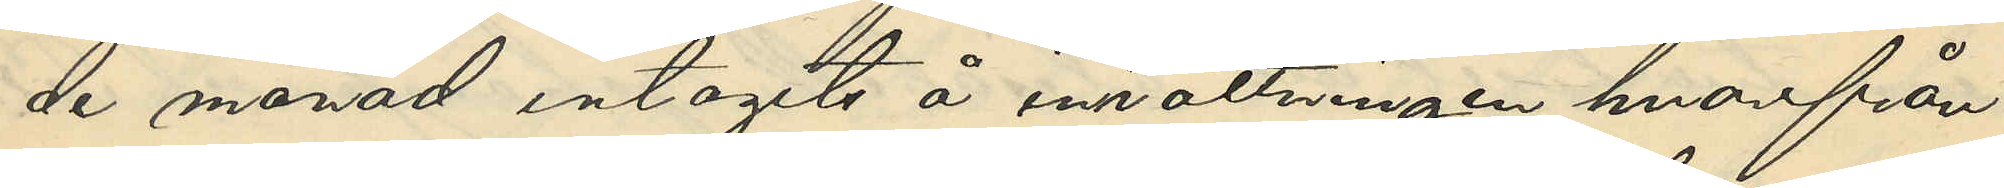de månad intagits å inrättningen hvarifrån
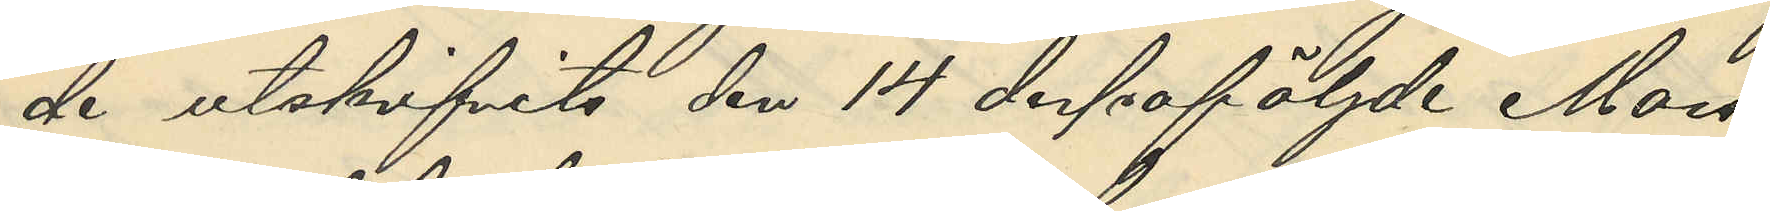de utskrifvits den 14 despåföljde Mars.
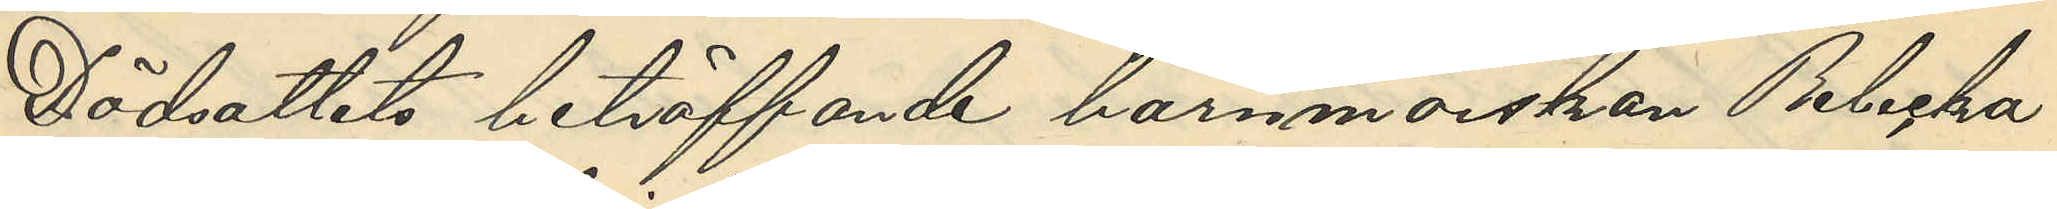Dödsattest beträffande barnmorskan Rebecka
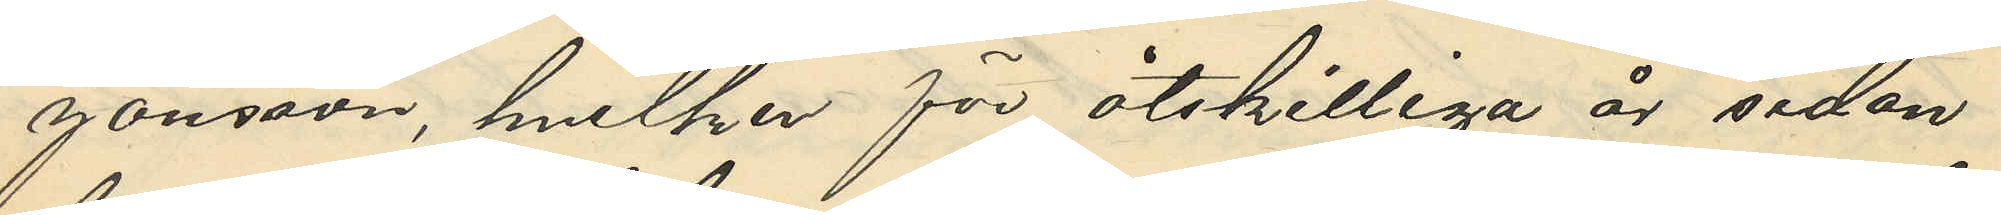Jansson, hvilken för åtskilliga är sedan
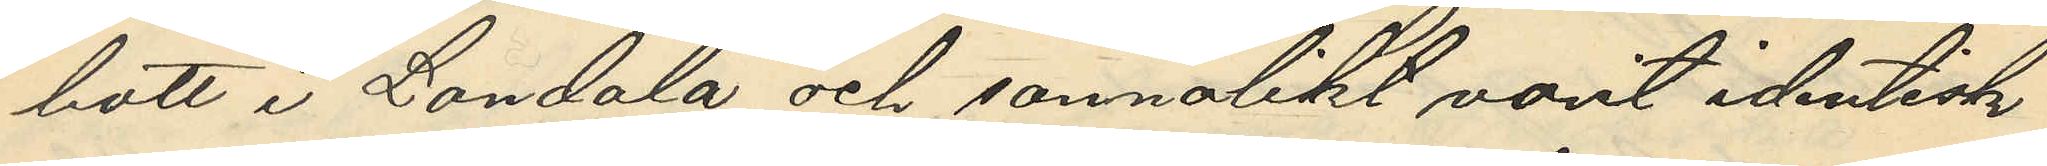bott i Landala och sannolikt varit identisk
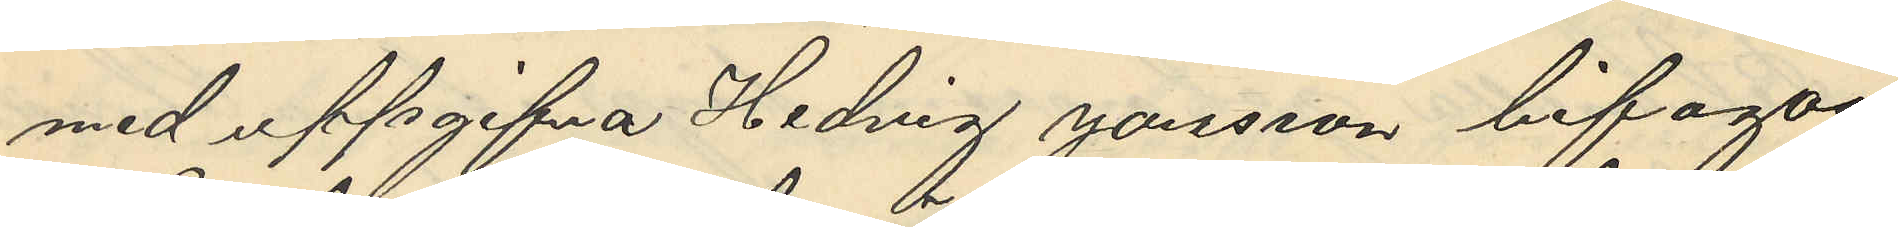med uppgifna Hedvig Jansson bifogas.
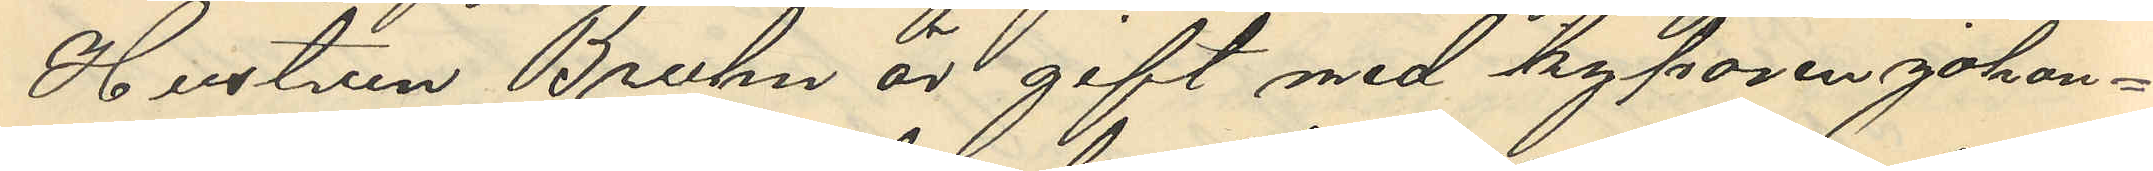Hustrun Bruhn är gift med kyparen johan¬
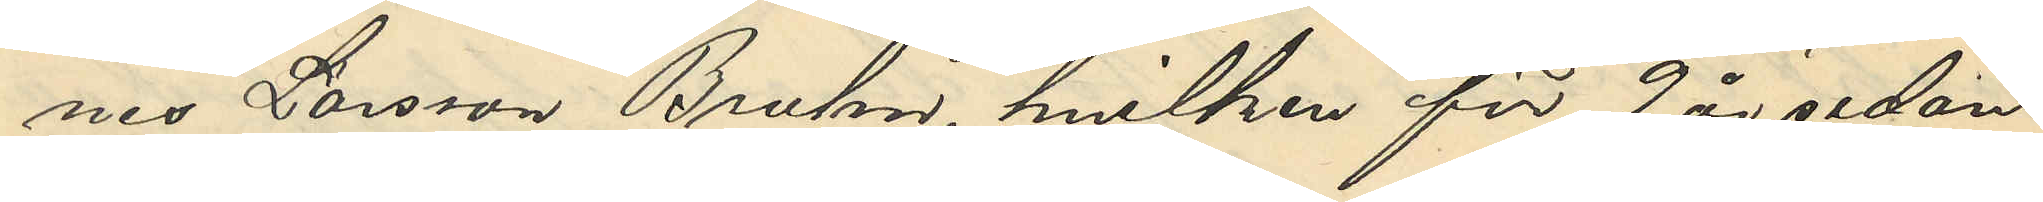nes Larsson Bruhn, hvilken för 9 år sedan
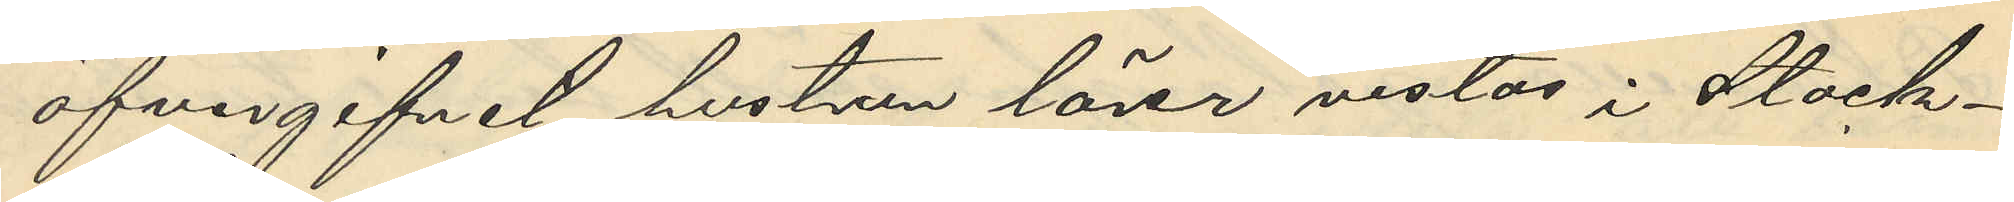öfvergifvit hustrun lärer vistas i Stock¬
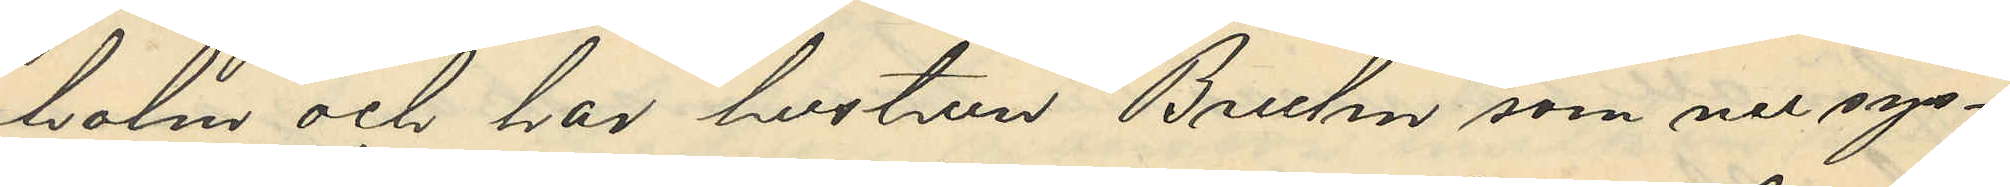holm och har hustrun Bruhn som nu sys¬
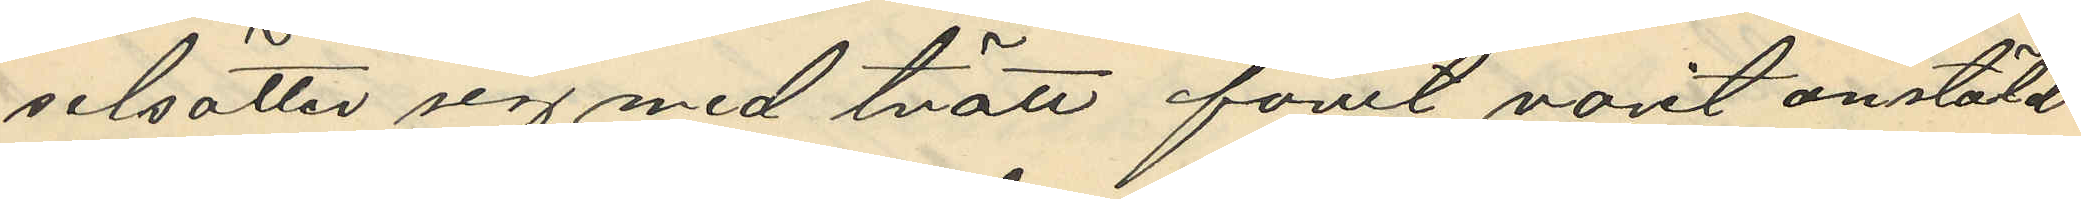selsätter sig med tvätt förut varit anstäld
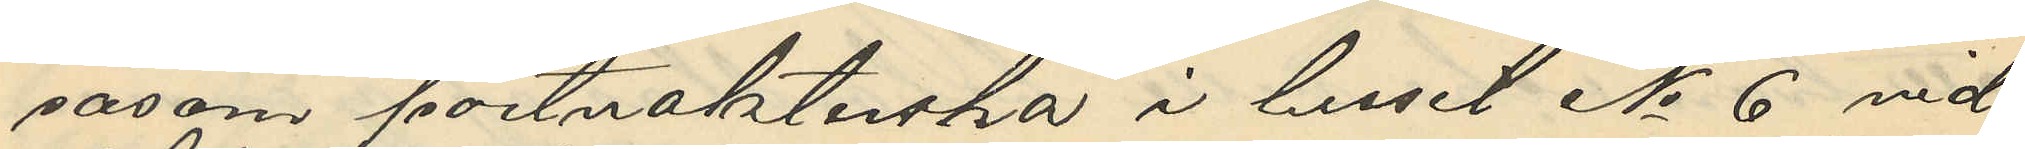såsom portvakterska i huset No 6 vid
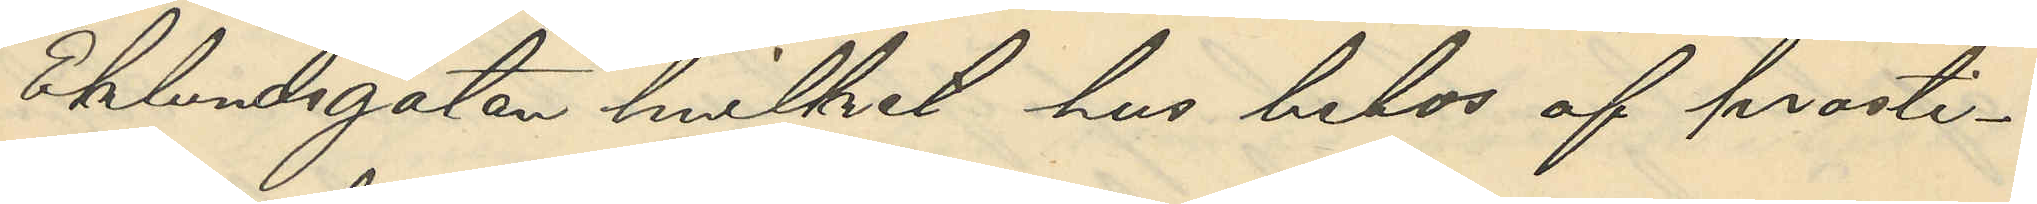Eklundsgatan hvilket hus bebos af prosti¬
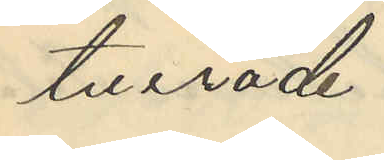tuerade.
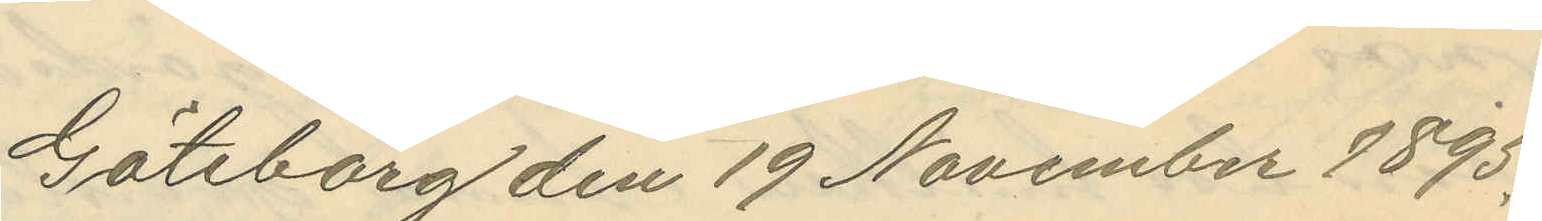Göteborg den 19 November 1895.
